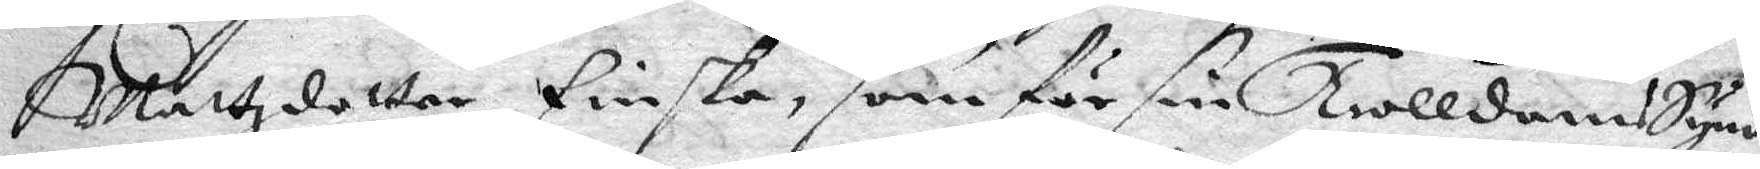Mattzdotter finska, som för sin Trolldoms Synd
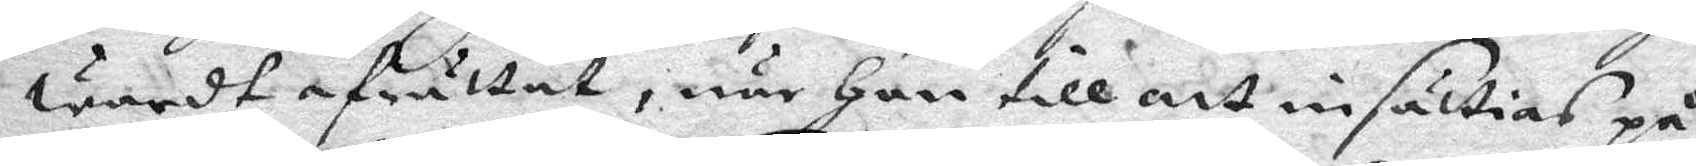wardt afrättat, när Hon till att insättias på
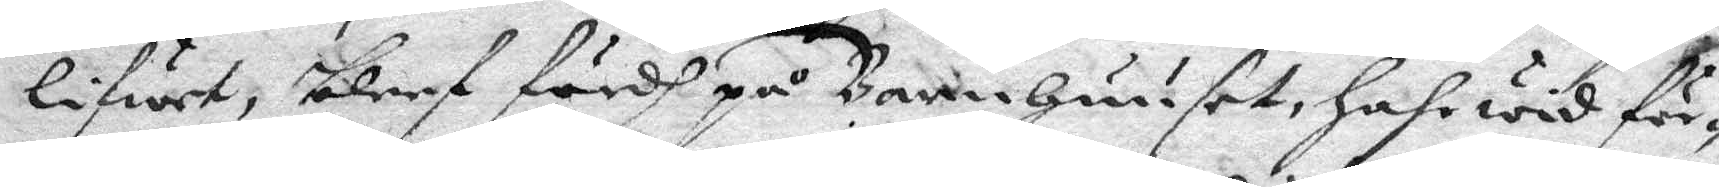liwet, bleef fördh på Barnhuuset, hahr wid för¬
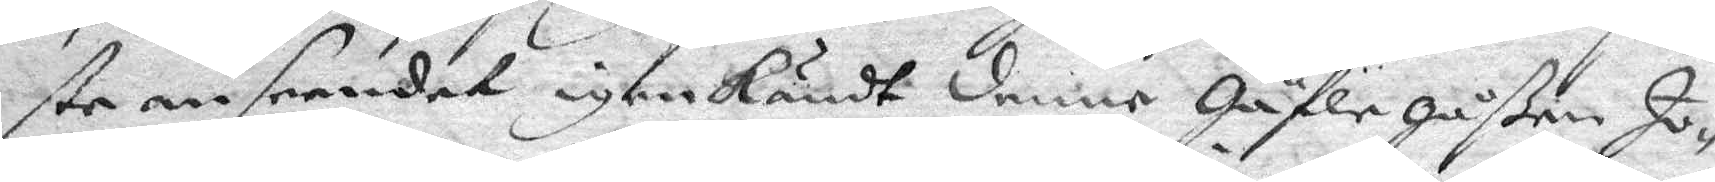ste anseendet igenkändt denne Gäfle gåßen Jo¬
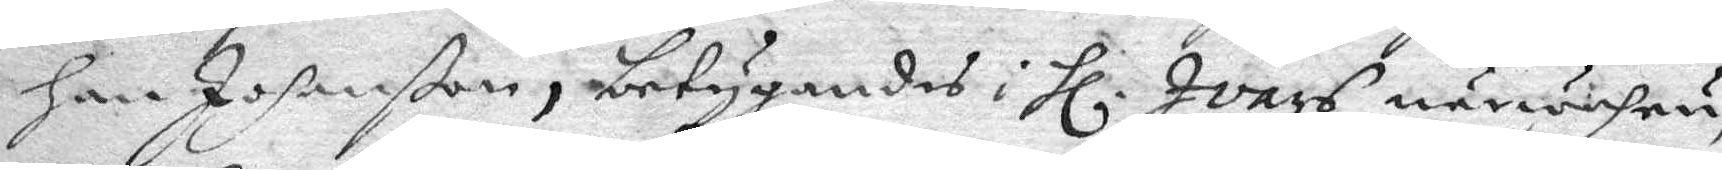han Johanßon, betygandes i Hl. Ivars närwahru,
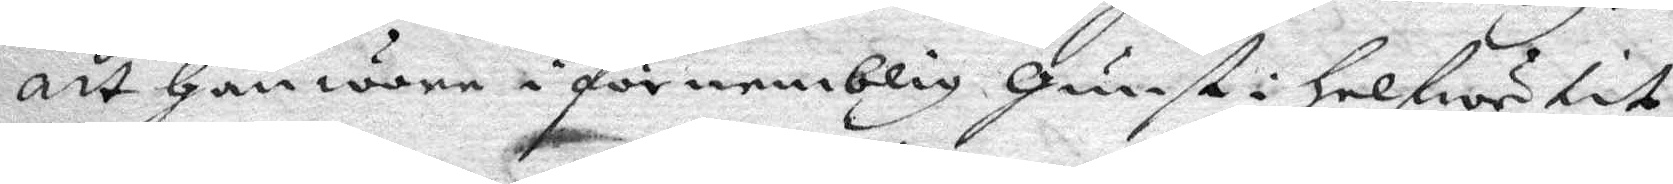att Han ware i förnemblig Gunst i Helwetit,
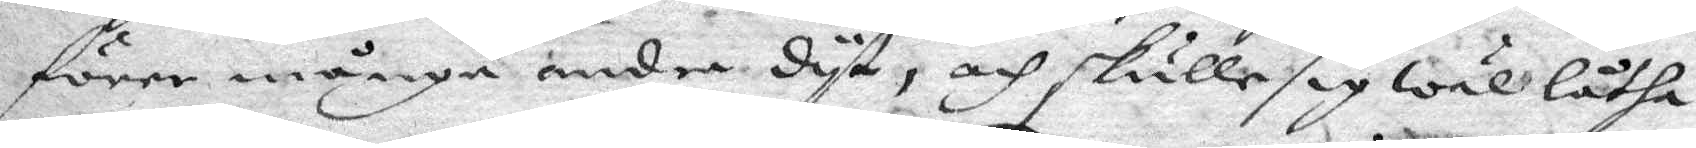före månge andre dyt, och skulle sig wäl låtha
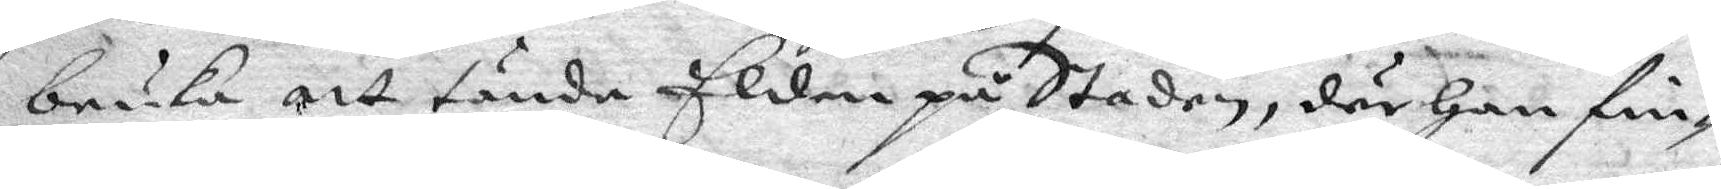bruka att tända Elden på Staden, där Han fin¬
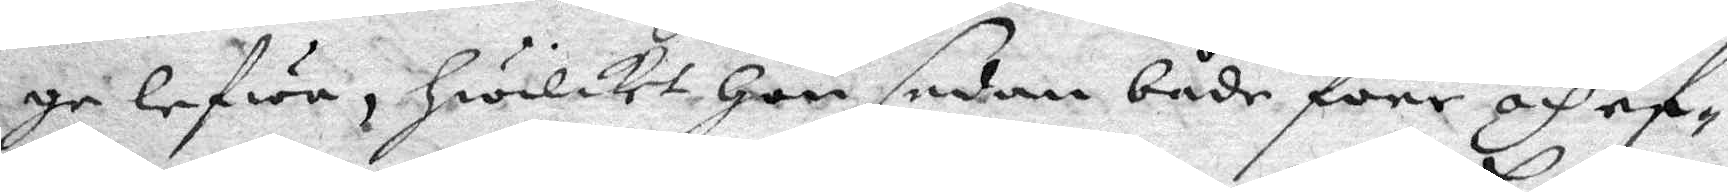ge lefwa, Hwilket Hon sedan både före och ef¬
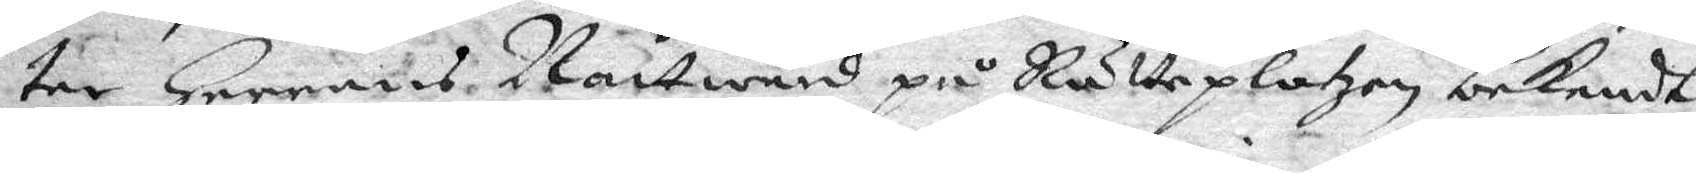ter Herrens nattward på Rätteplatxen bekendt
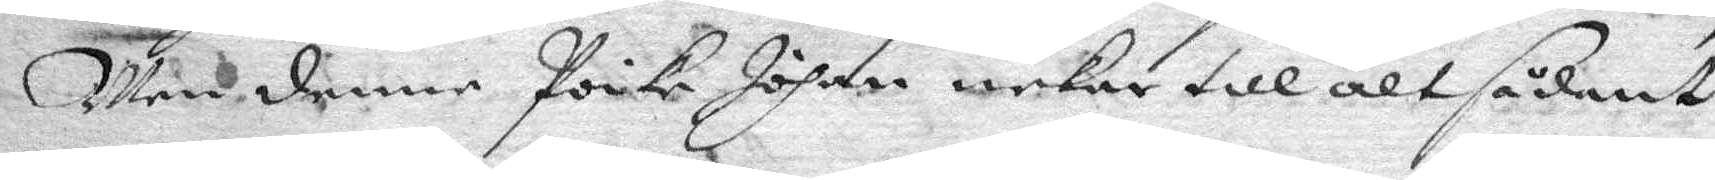Men denne Poike Johan nekade till alt sådant
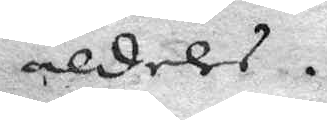aldeles.
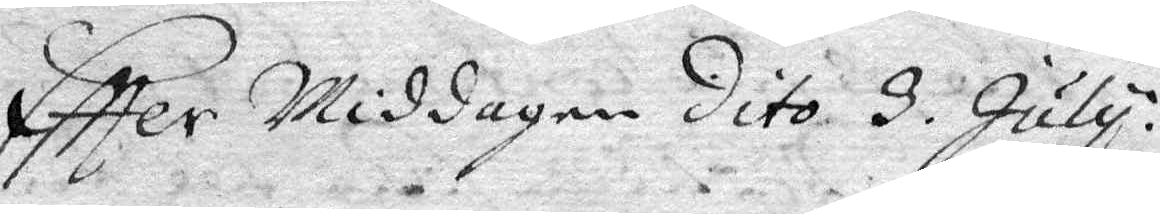Eftter Middagen dito 3. July.
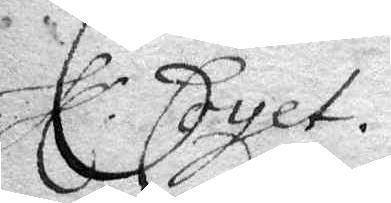Hl. Couet.
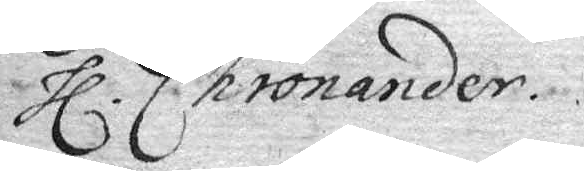Hl. Chronander.
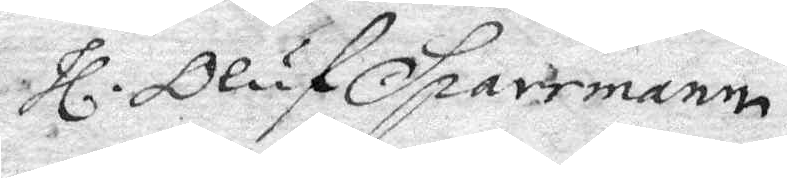Hl. Oluf Sparrmann
